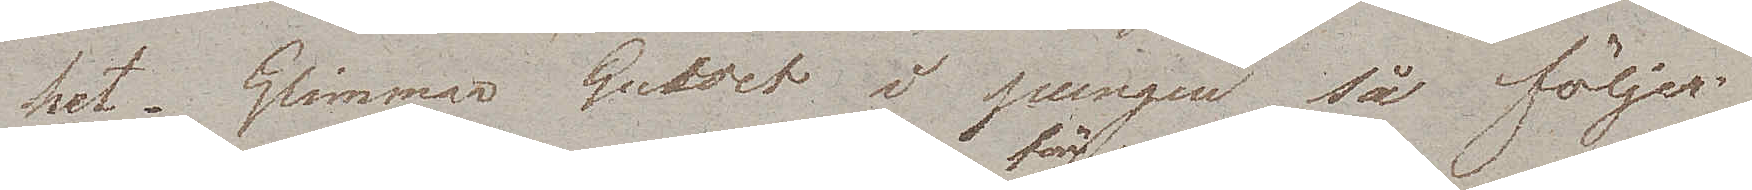het. Glimmar Guldet i pungen så följer
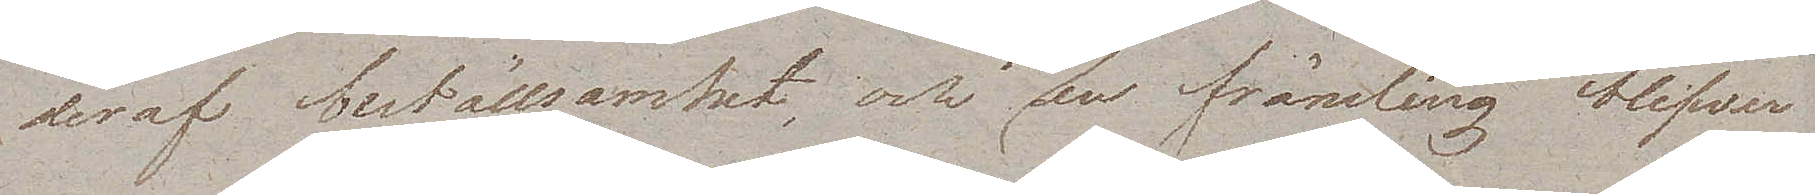deraf beställsamhet och för en främling blifwer
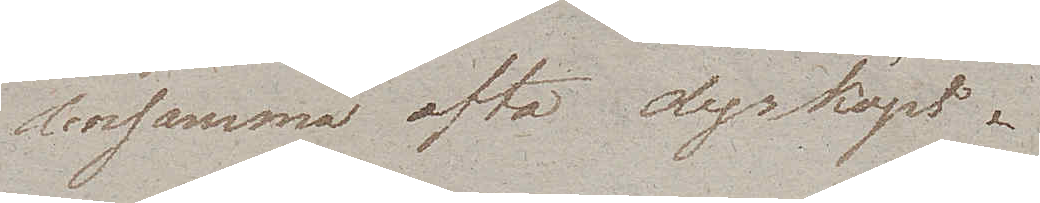densamma ofta dyrköpt.
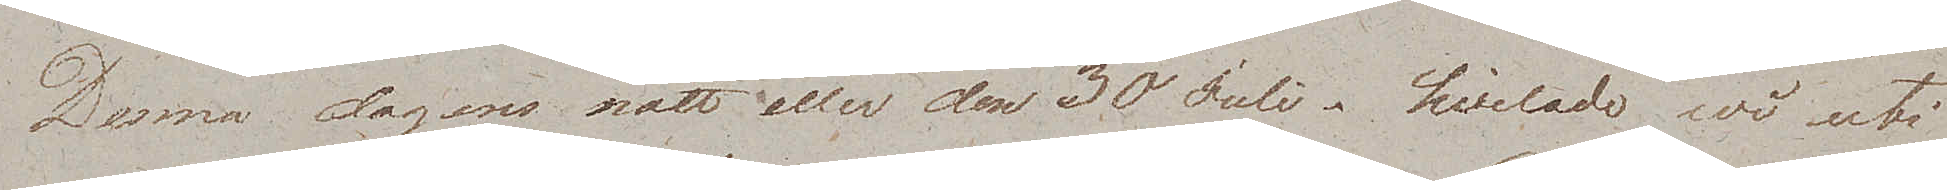Denna dagens natt eller den 30 Juli. hvilade wi uti
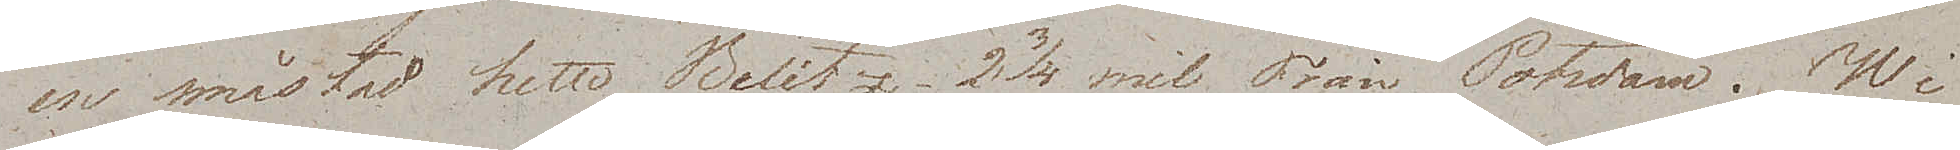en småstad hette Belitz 2 ¾ mil Från Potsdam. Wi
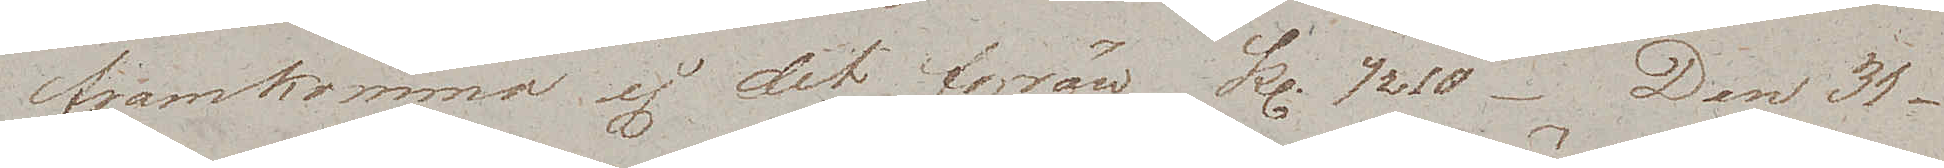framkommo ej dit förrän kl. ½ 10. Den 31
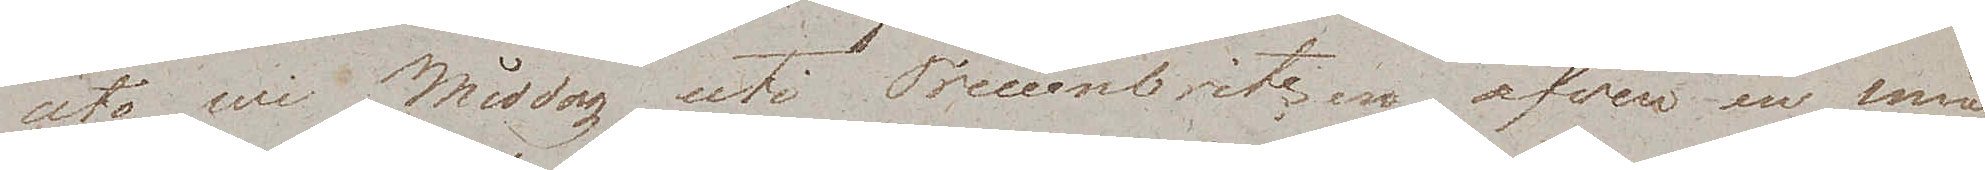åto wi Middag uti Treuenbietzen äfven en små¬
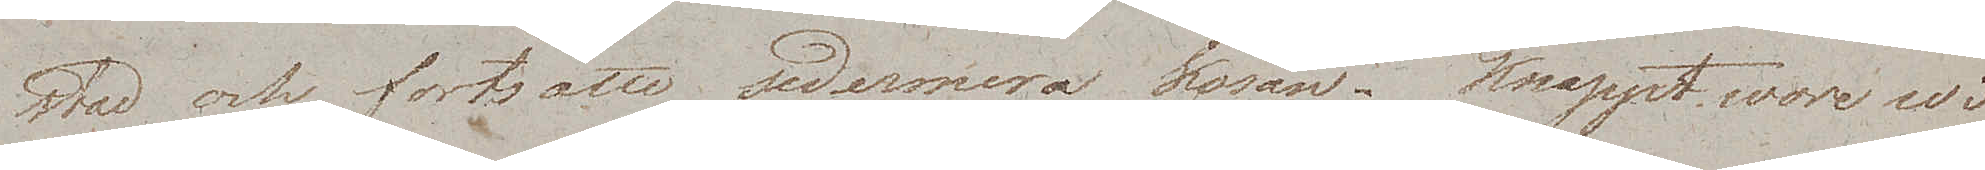stad och fortsatte sedermera kosan. Knappt wore wi
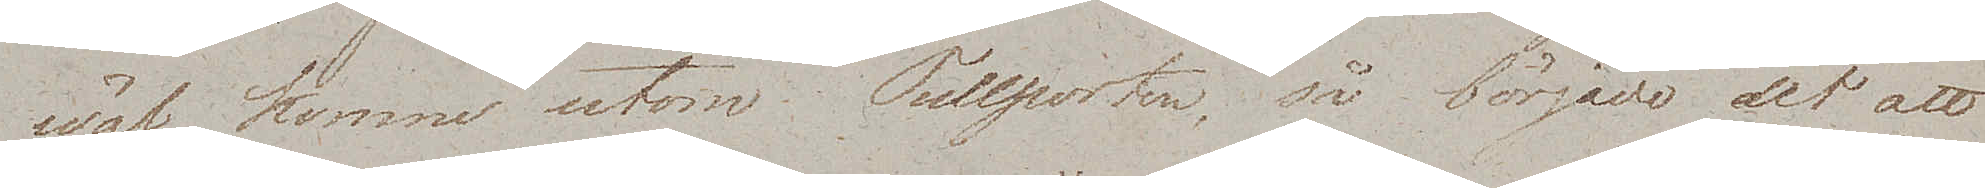wäl komne utom Tullporten, så började det att
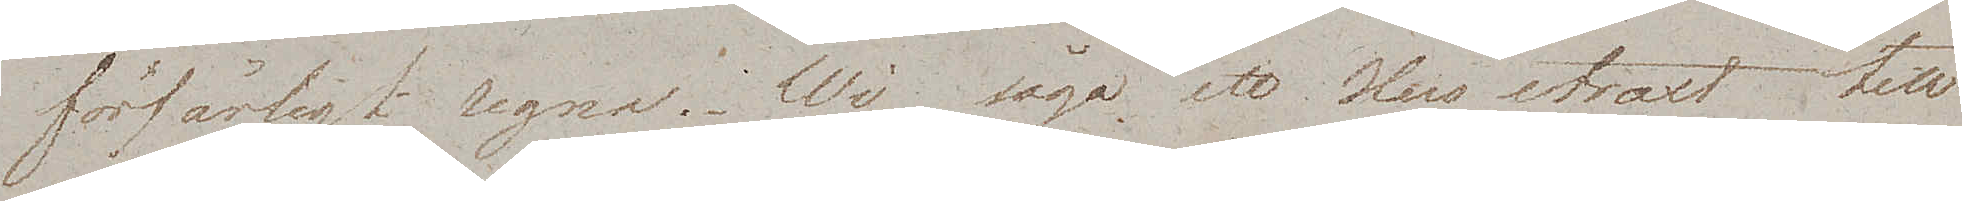förfärligt regna. Wi sågo ett Hus straxt till
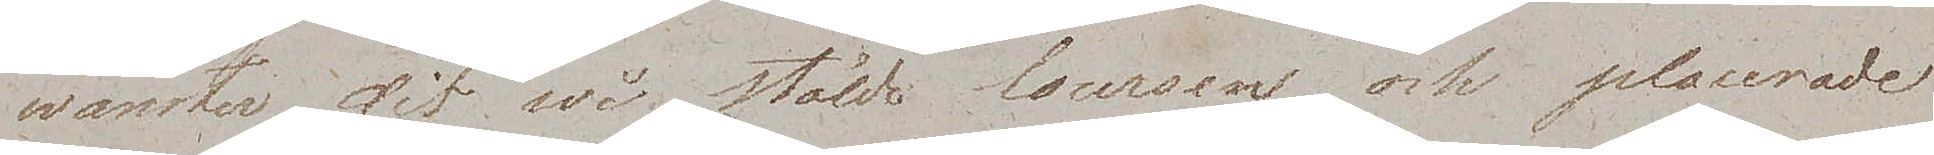wänste,r dit wi stälde Coursen och placerade
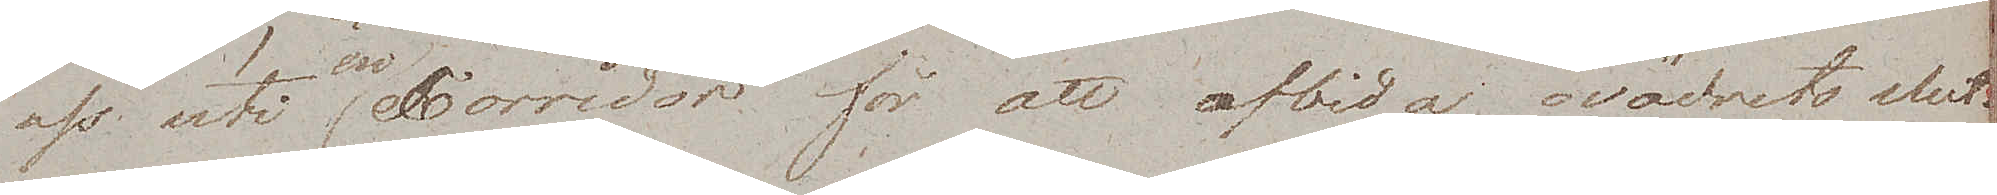oss uti en Corridor för att afbida ovädrets slut.
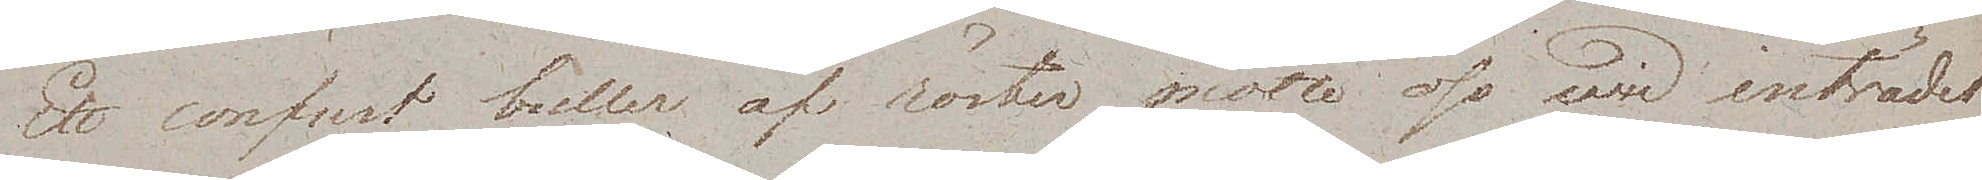Ett confust buller af röster mötte oss wid inträdet
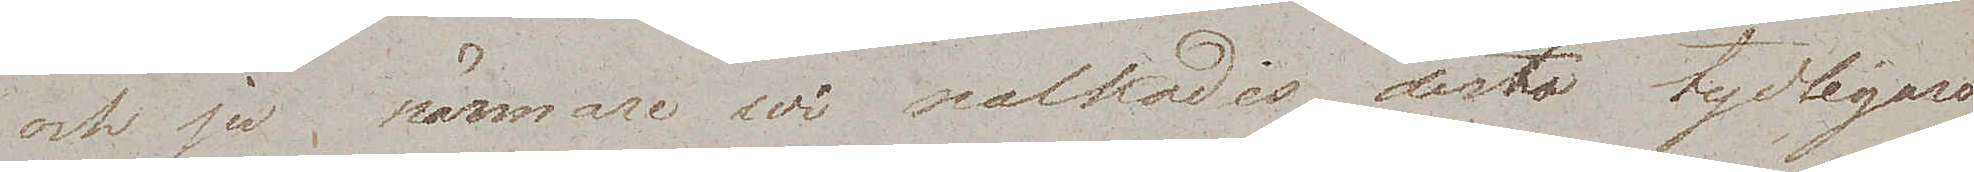och ju närmare wi nalkades desto tydligare
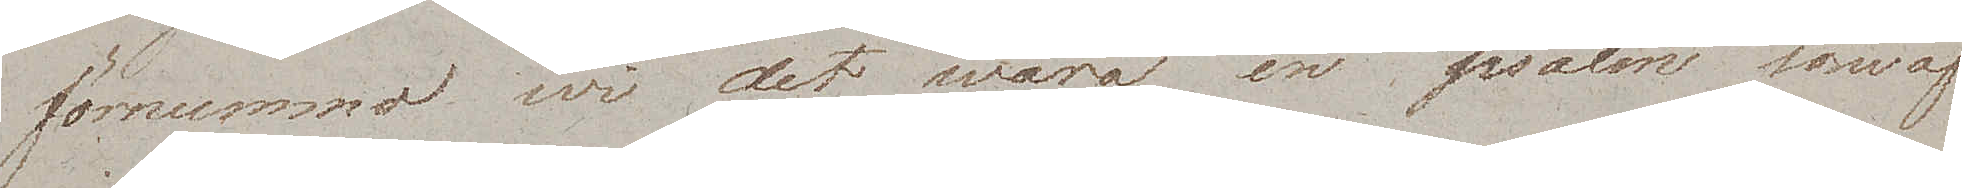förnummo wi det wara en psalm som af¬
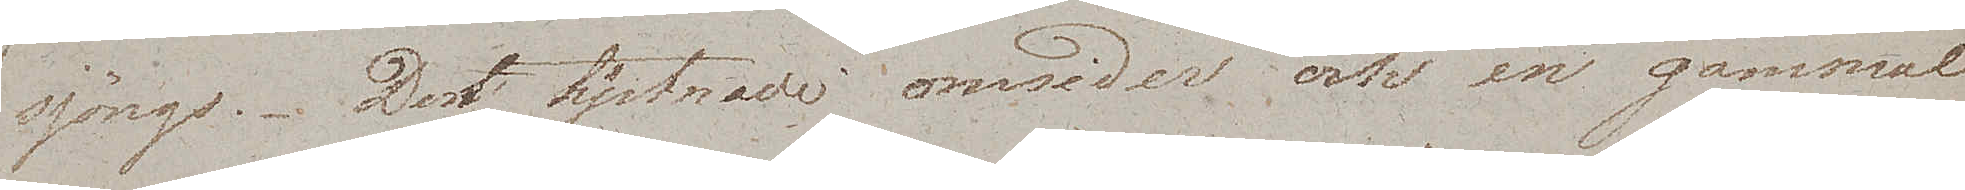sjöngs. Den tystnade omsider och en gammal
